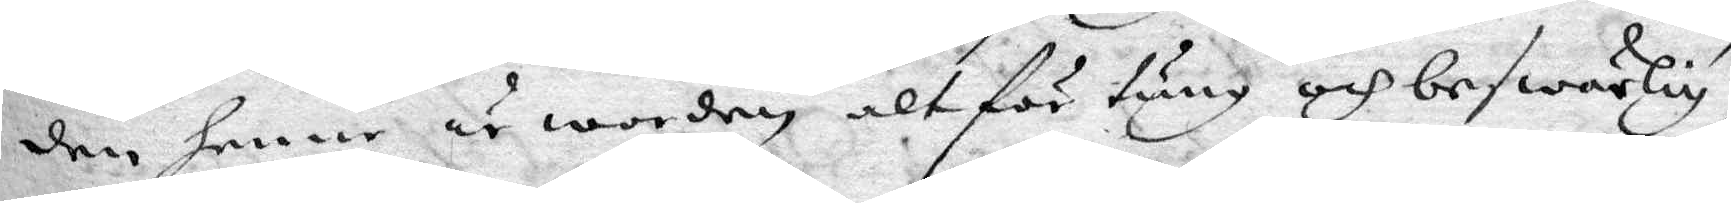den henne är worden alt för tung och beswärlig,
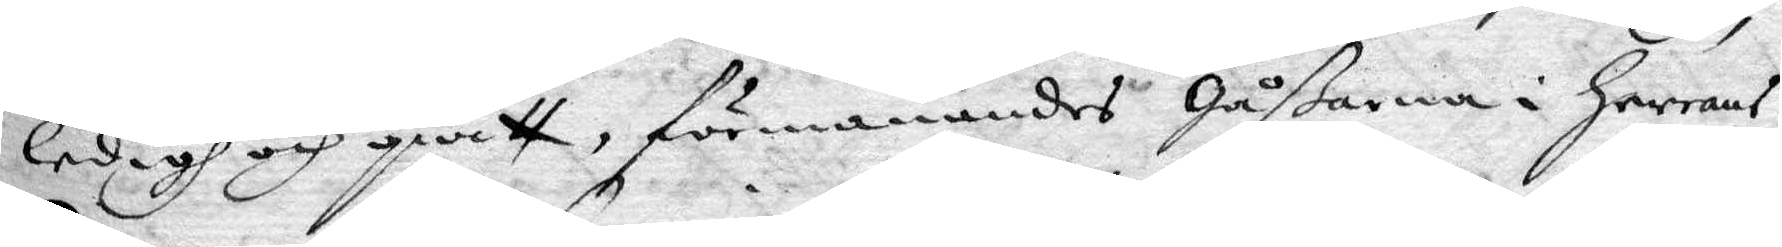ledigh och qwitt, förmanandes gåßarna i herrans
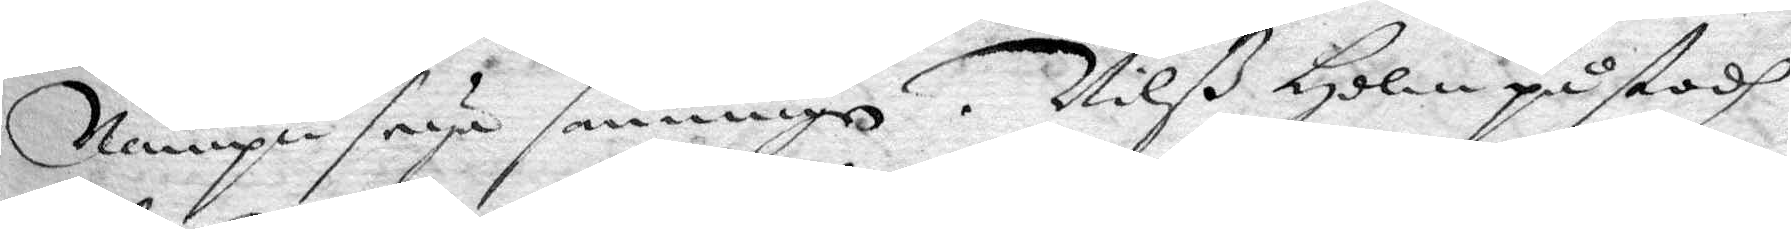Nampn seya sanningen. Nilß Holm påstodh
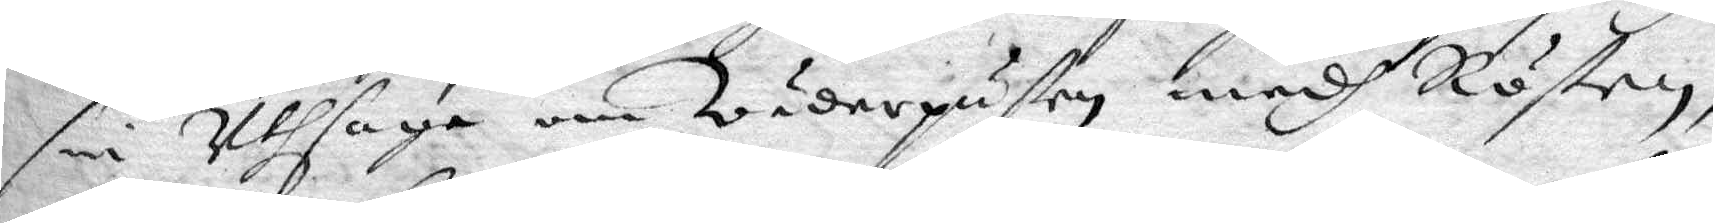sin Uthsaga om Wäderpusten medh Rösten,
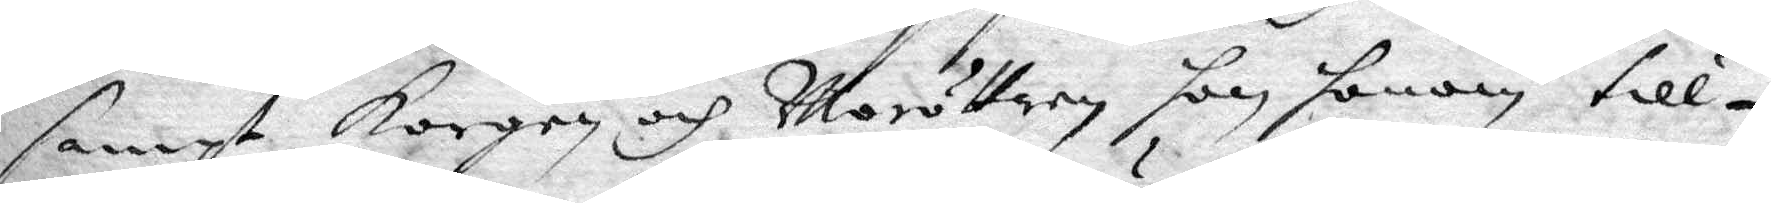sampt korgen och Moröttern hon honom till¬
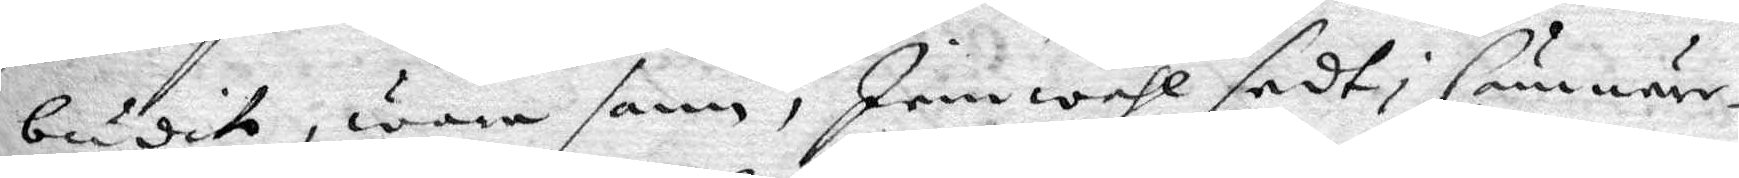budit, wara sann, Jemwähl sedt i Cämnär¬
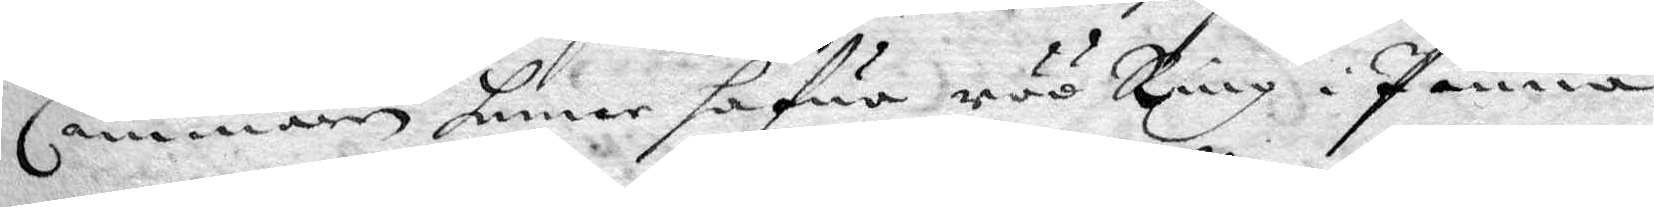Cammaren henne hafwa röö Ring i Pannan,
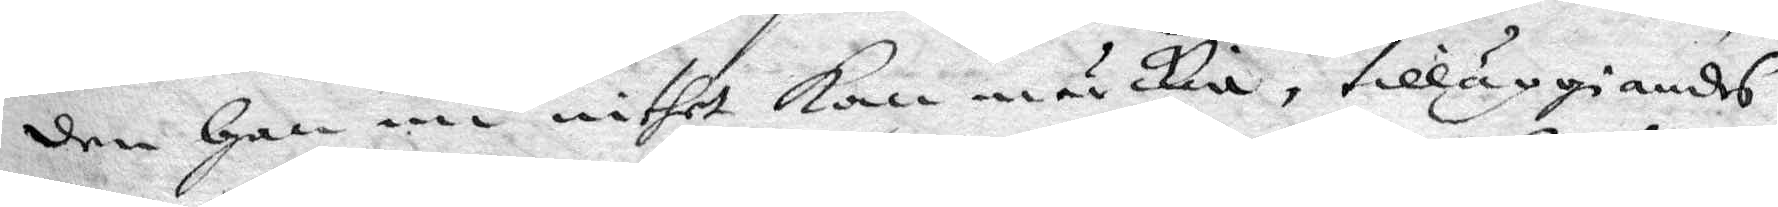den han nu inthet kan märkia, tilläggiandes
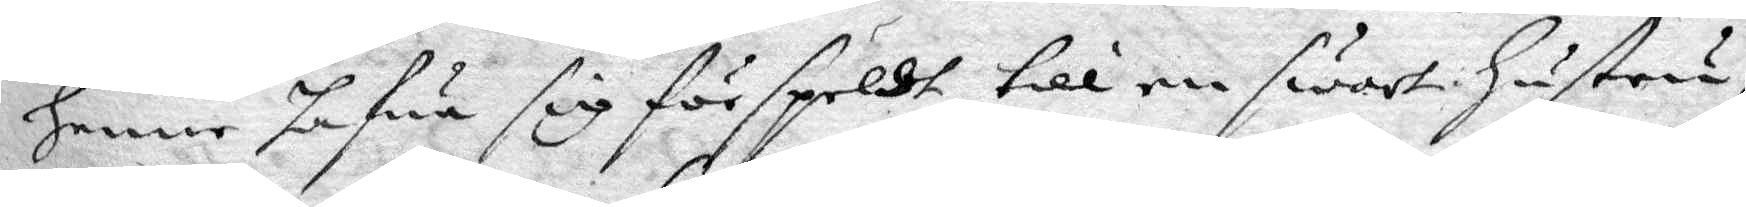henne hafwa sig förspeldt till en swart hustru,
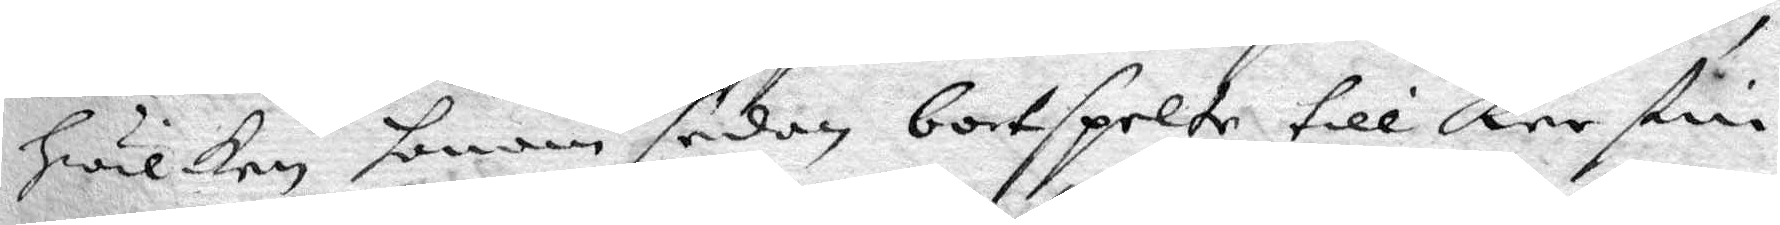hwilken honom sedan bortspelte till Kerstin
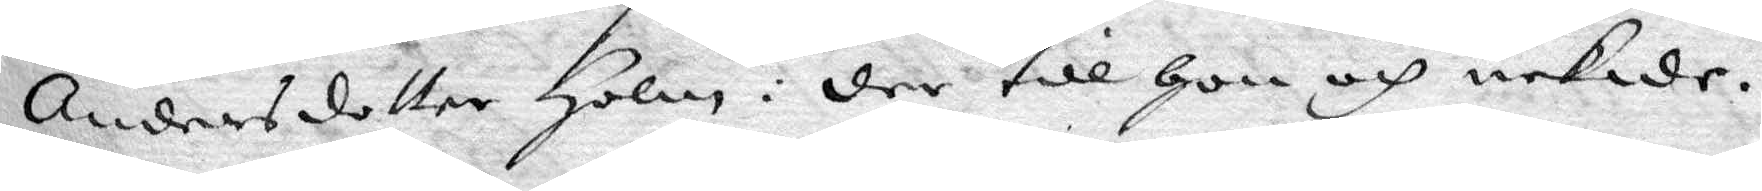Andersdotter Holm: der till hon och nekade.
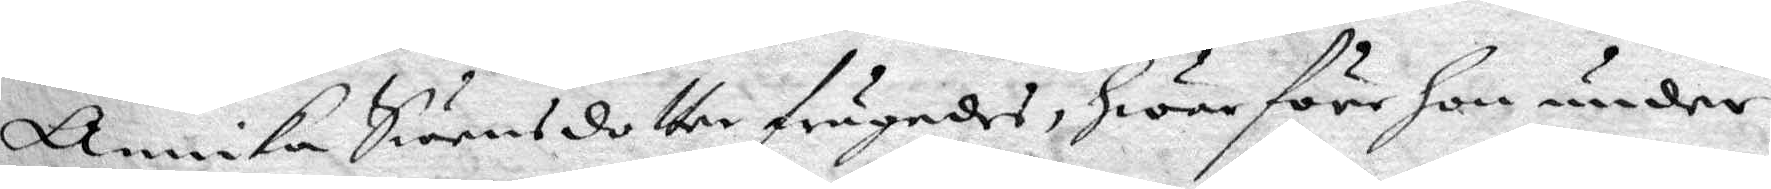Annika Swensdotter frågades, hwar före hon under
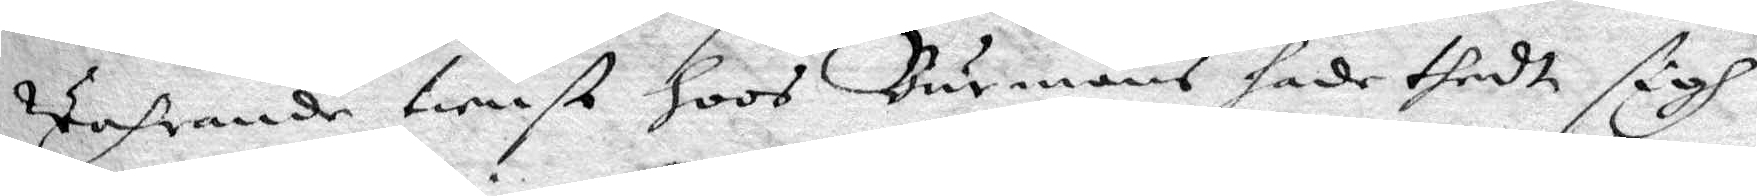Wahrande tienst hoos Burmans hade thedt sigh
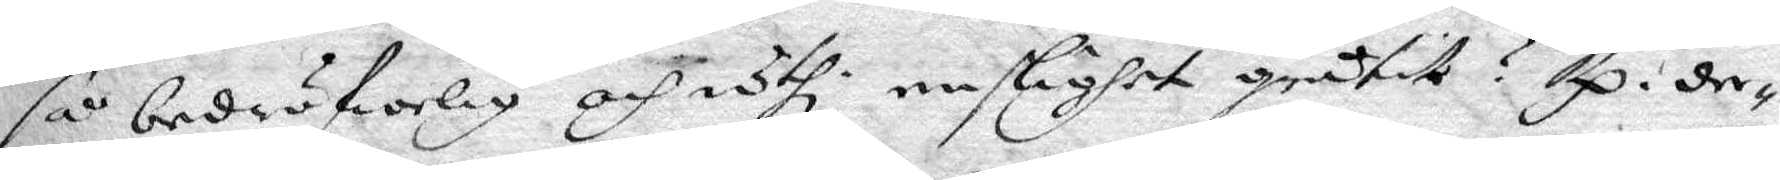så bedröfwelig och uthi enslighet gråtit? Rp. der¬
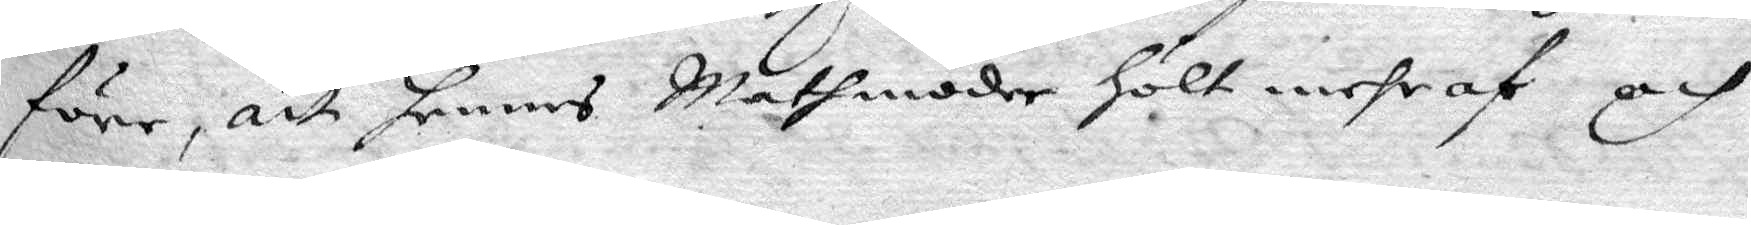före, att hennes Mathmoder hölt mehr af och
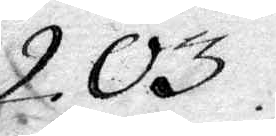203.
